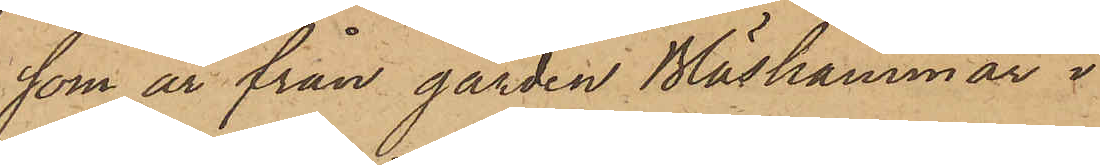som är från gården Bläshammar i
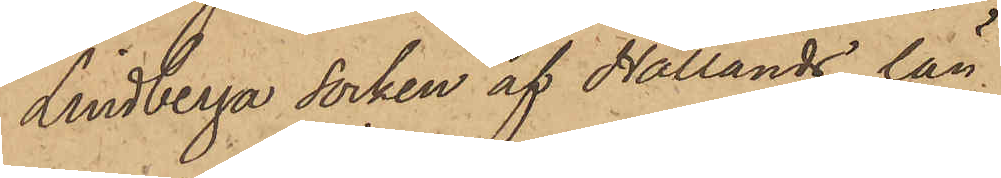Lindberga Socken af Hallands län.
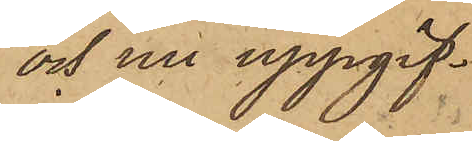och nu uppgif¬
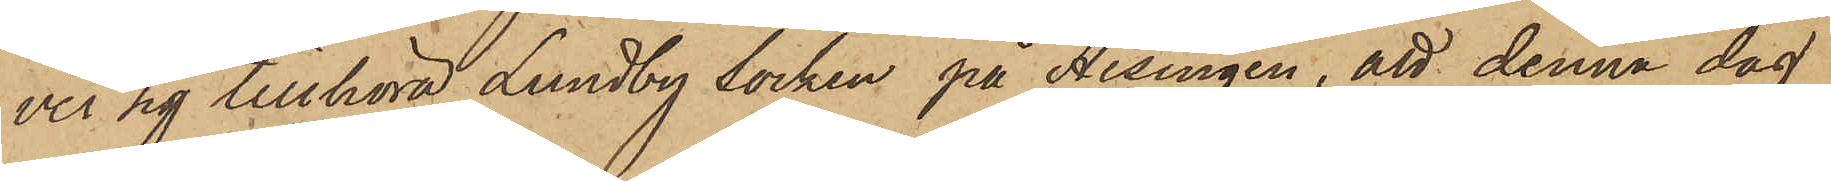ver sig tillhöra Lundby Socken på Hisingen, att denna dag
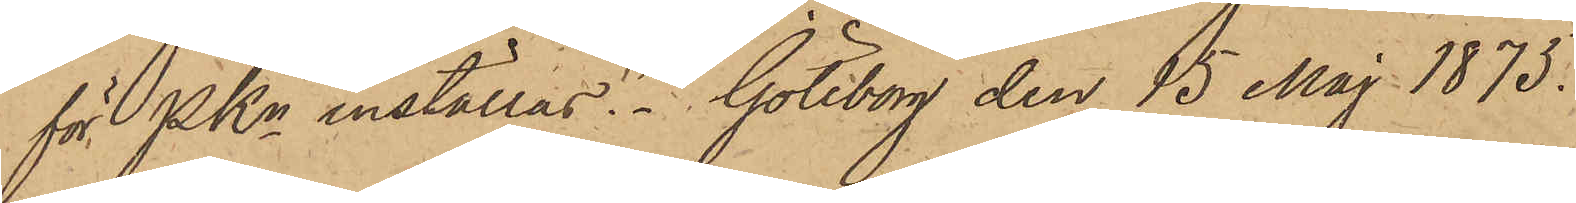för PKn inställas. Göteborg den 15 Maj 1875.
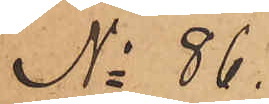No 86.
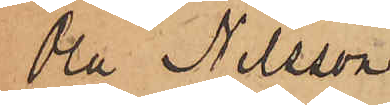Ola Nilsson
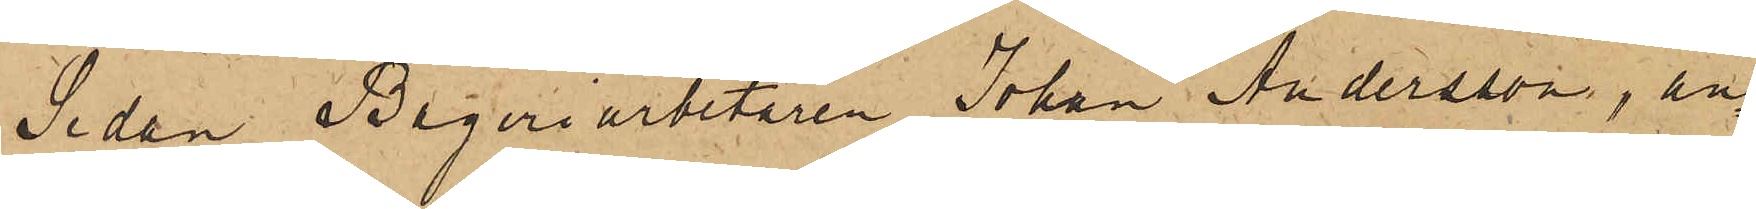Sedan Bageriarbetaren Johan Andersson, an¬
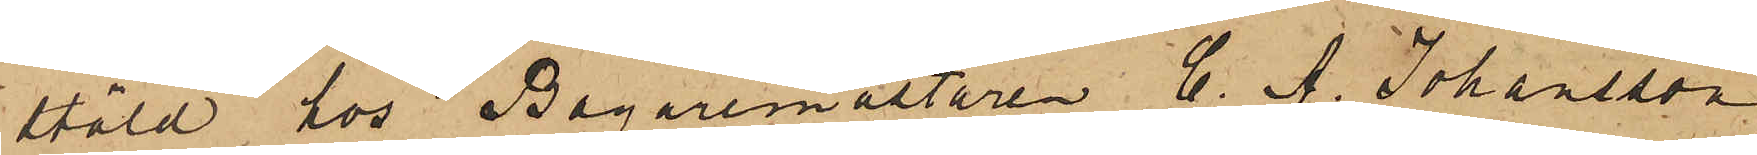stäld hos Bagaremästaren C. A. Johansson
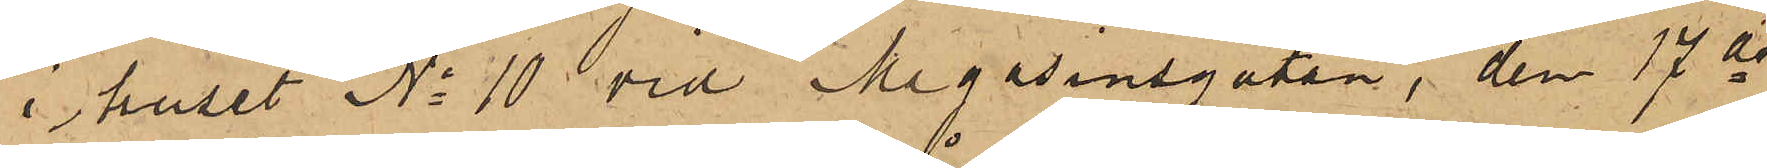i huset No 10 vid Magasinsgatan, den 17 ds
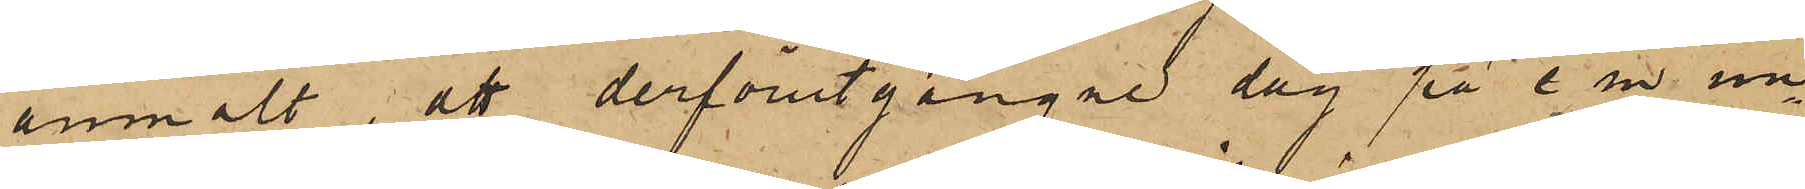anmält, att derförutgångne dag på e. m. un¬
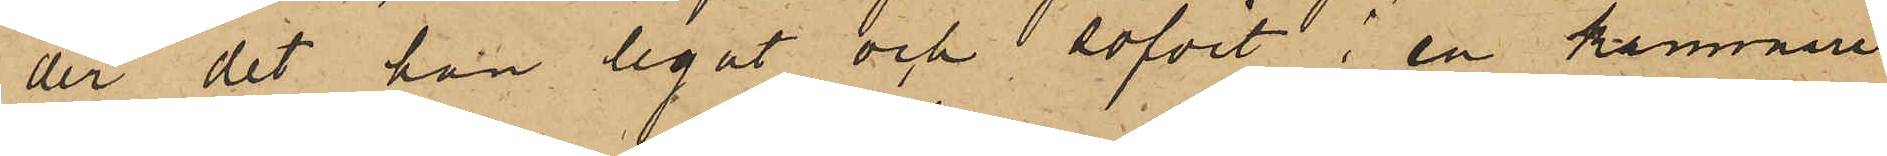der det han legat och sofvit i en kammare
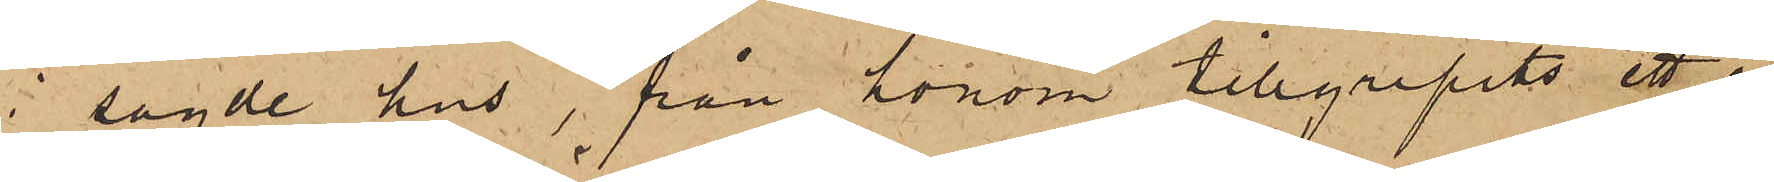i sagde hus, från honom tillgripits ett å
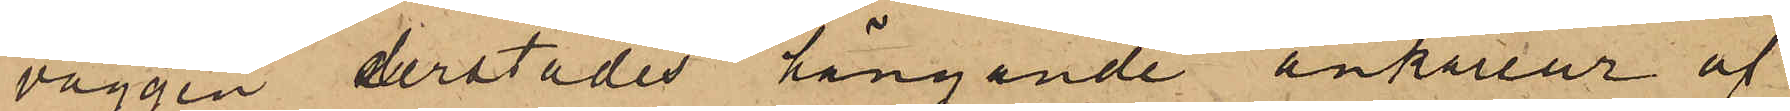väggen derstädes hängande ankarur af
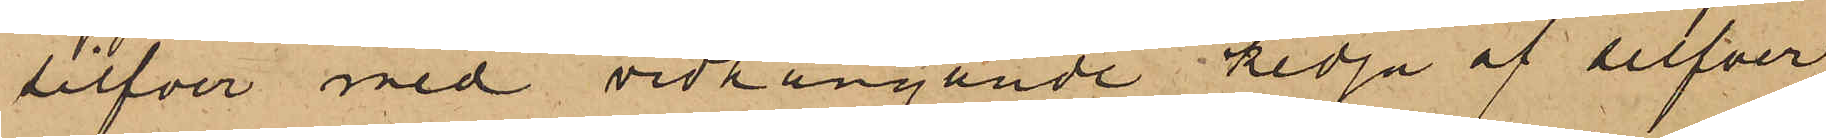silfver med vidhängande kedja af silfver,
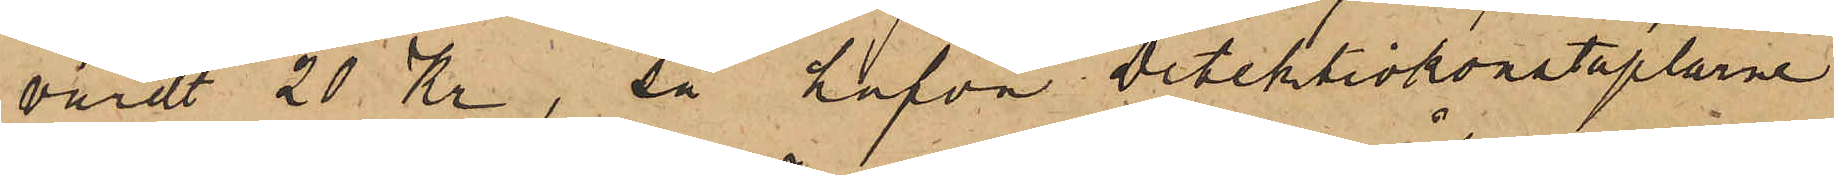värdt 20 Kr, så hafva Detektivkonstaplarne
